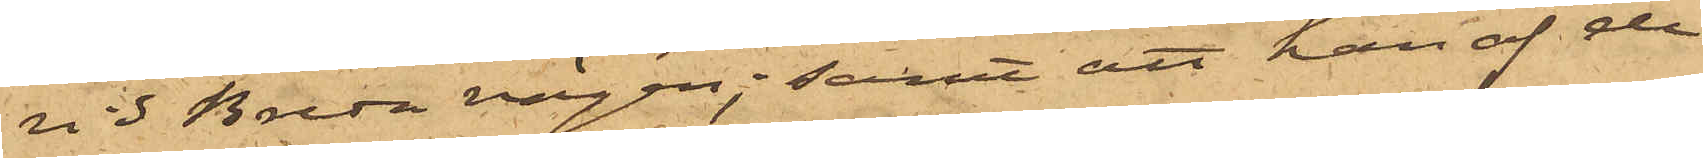vid Breda vägen; samt att han af de
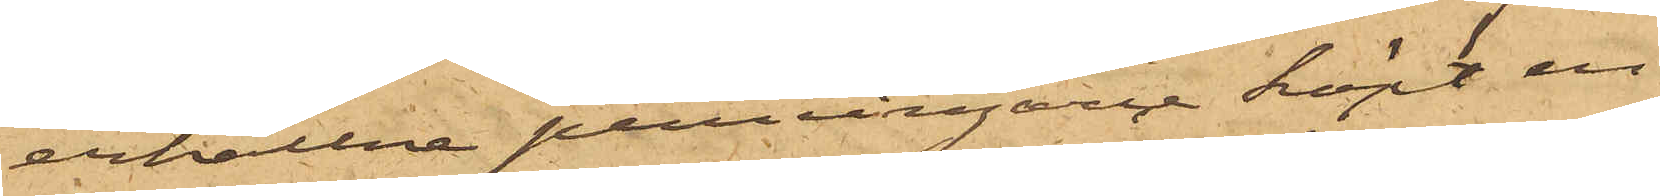erhållna penningarne köpt en
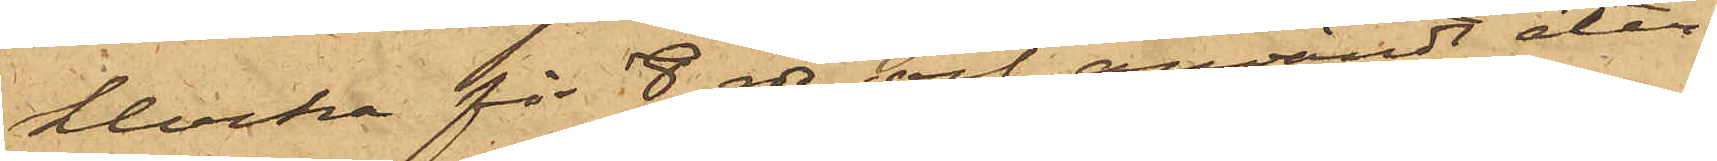klocka för 8 rdr och användt åter¬
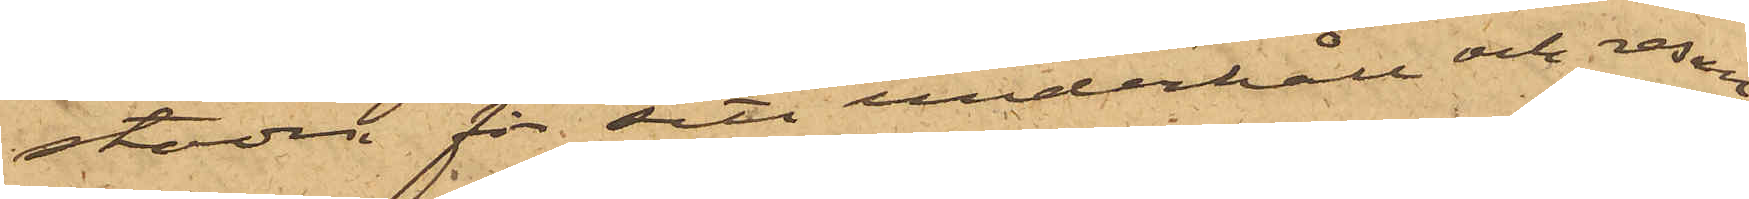stoden för sitt underhåll och resan
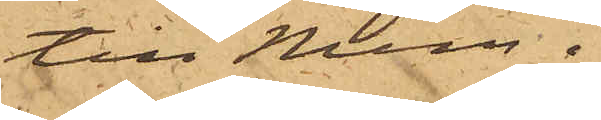till Mem.
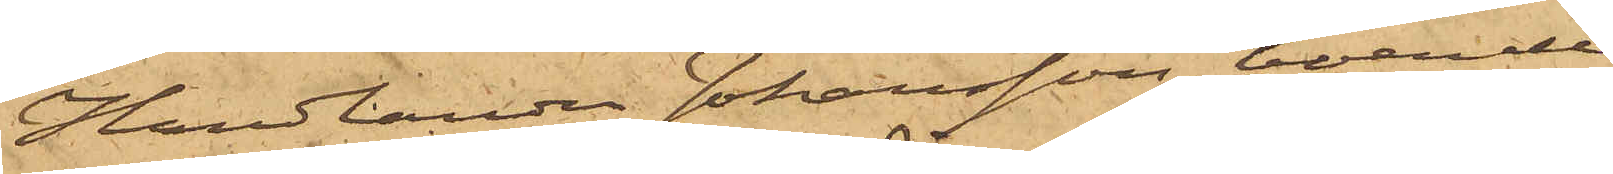Handlanden Johansson, boende i
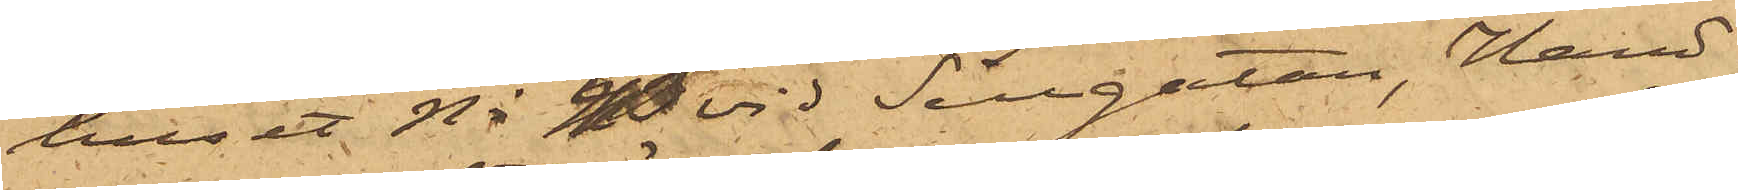huset No 43 vid Sillgatan, Hand¬
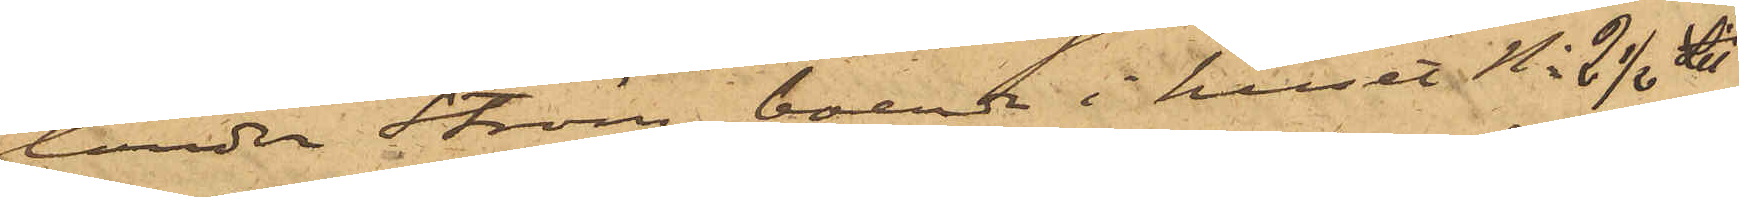landen Ström, boende i huset No 2½  Litt
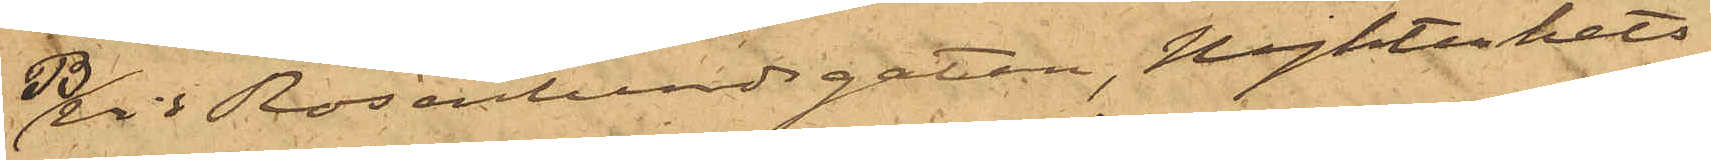B vid Rosenlundsgatan, Nykterhets¬
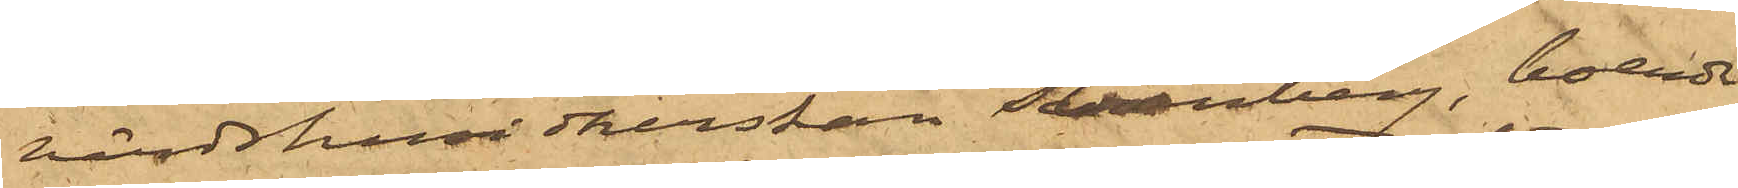värdshusidkerskan Svanberg, boende
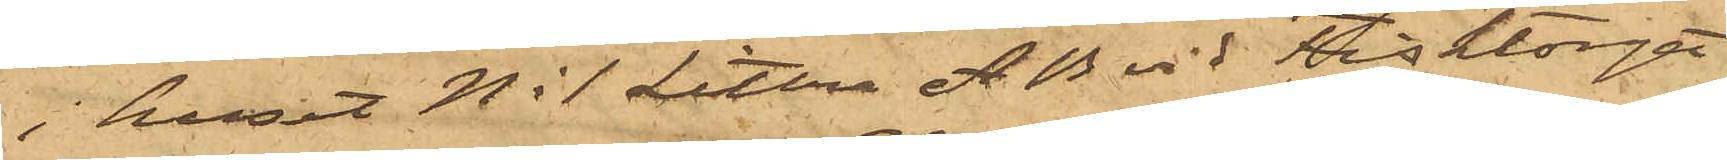i huset No 1 Littera AB vid Fisktorget
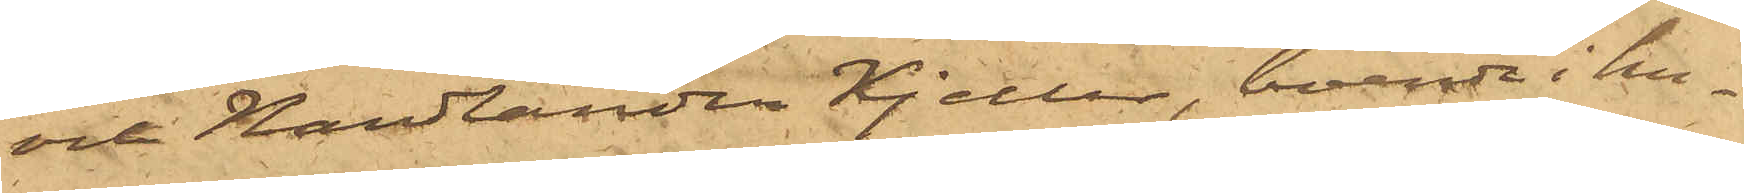och Handlanden Kjeller, boende i hu¬
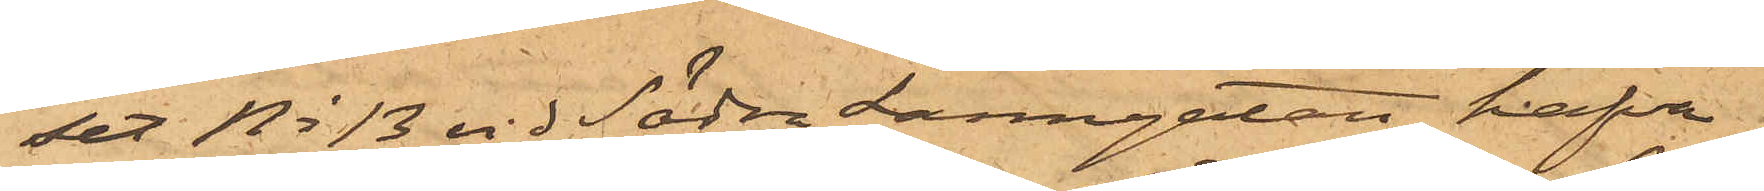set No 13 vid Södra Larmgatan hafva
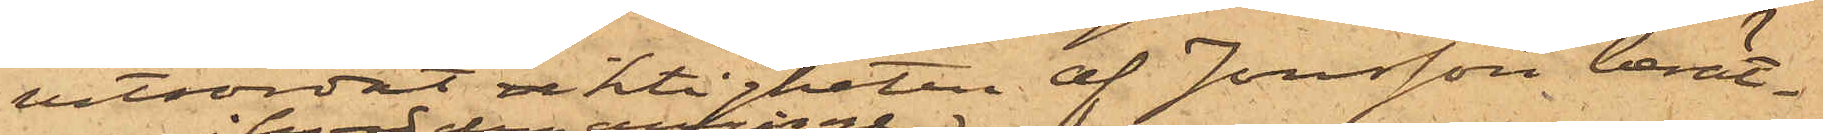vitsordat riktigheten af Jonsson berät¬
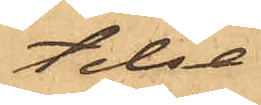telse
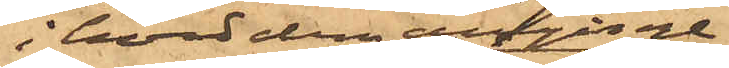i hvad dem anginge:
